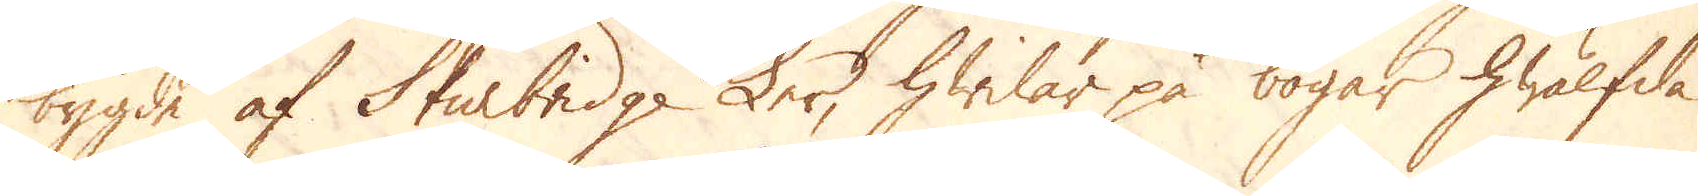bygde af Sturbridge Ler, hwilar på bogar, hwälfda
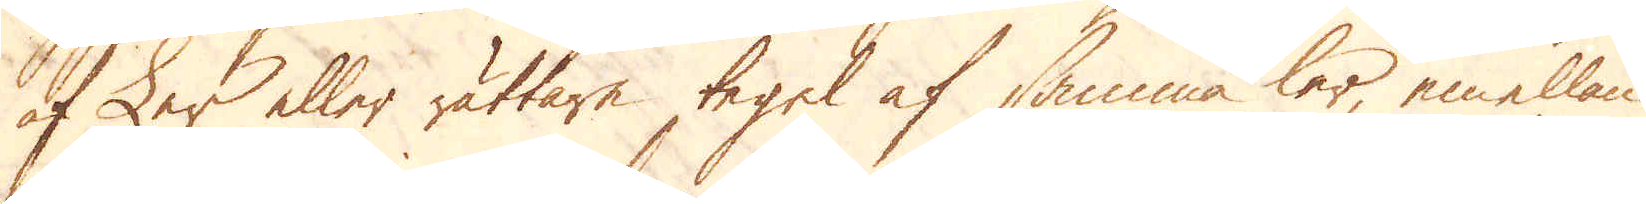af Ler eller rättare tegel af samma ler, emellan
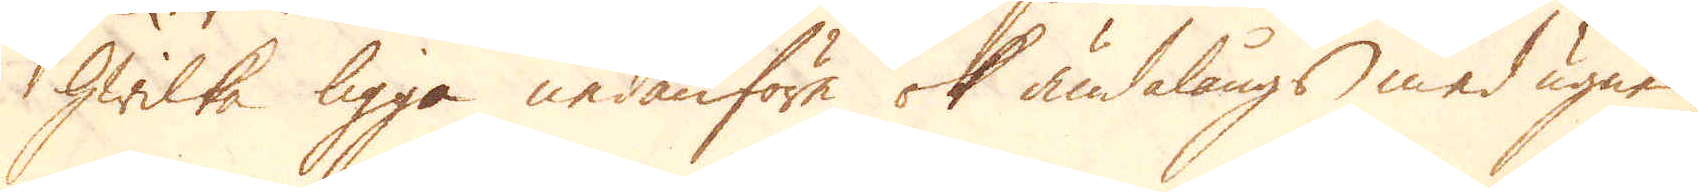hwilka ligga nedanföre ok ändalångs med ugnen
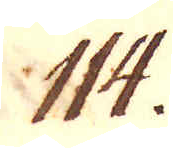114.
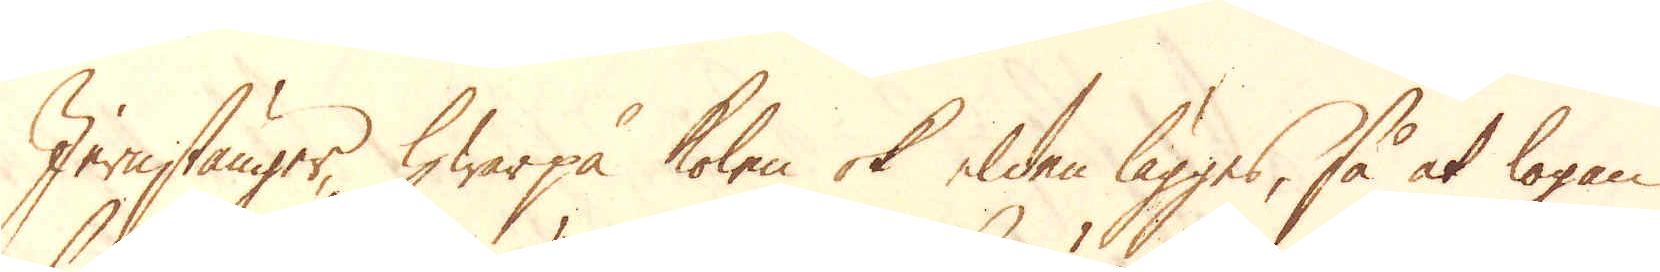Jernstänger, hwarpå kolen ok elden lägges, så at logan
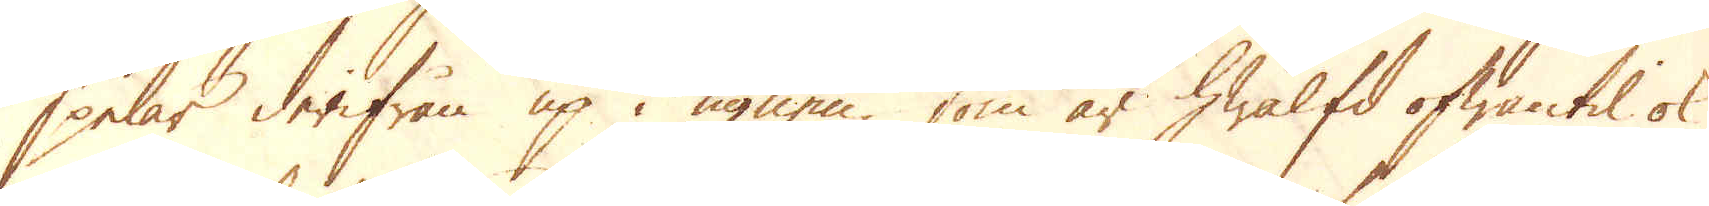spelar derifrån up i ugnen, som är hwalfd ofwantil ok
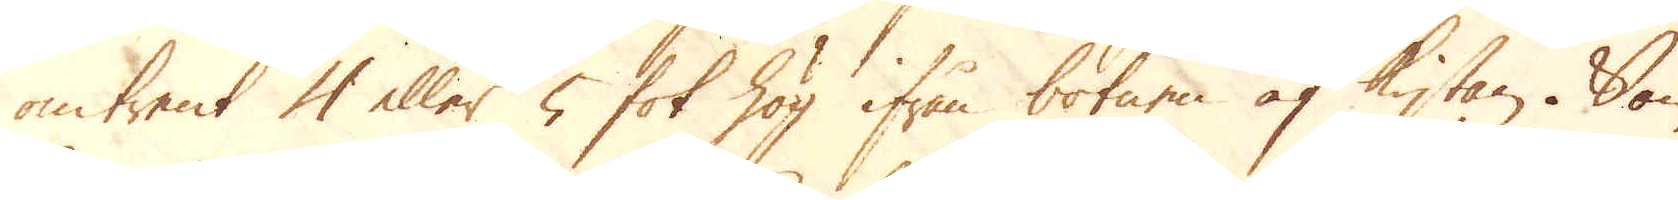omtrent 4 eller 5 fot hög ifrån botnen af kistan. Som
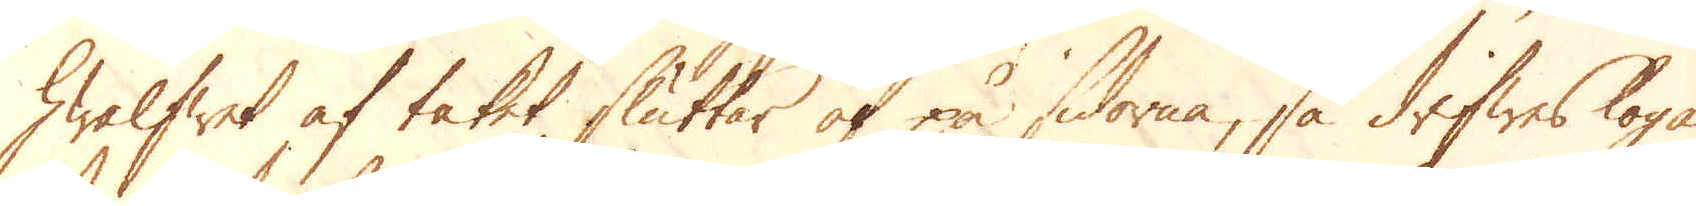hwalfwet af taket sluttar af på sidorne, så drifwes logan
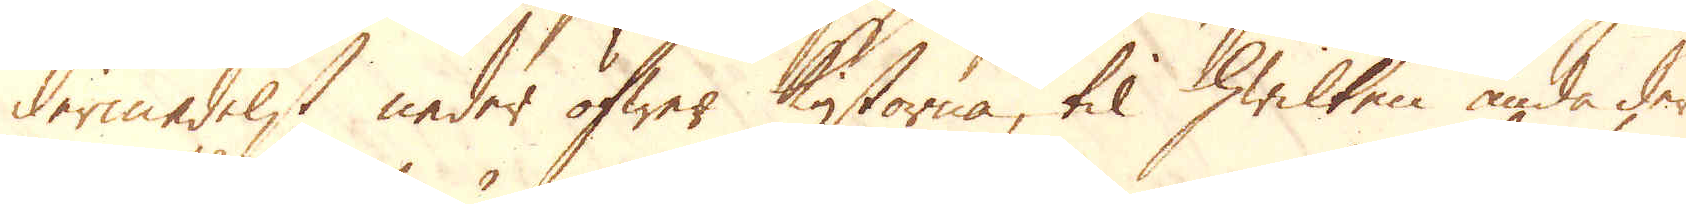dermedelst neder öfwer kistorna, til hwilken ända der
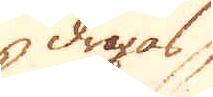dragas
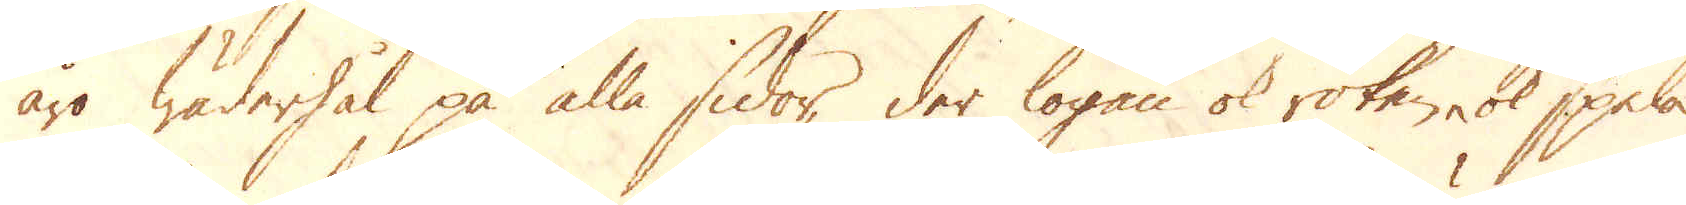äro wäderhål på alla sidor, der logan ok röken ok spela
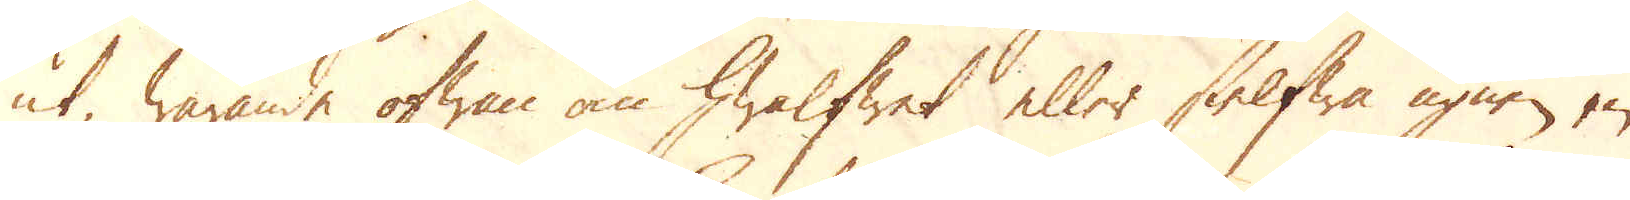ut, warande ofwan om hwalfwet eller sielfwa ugnen en
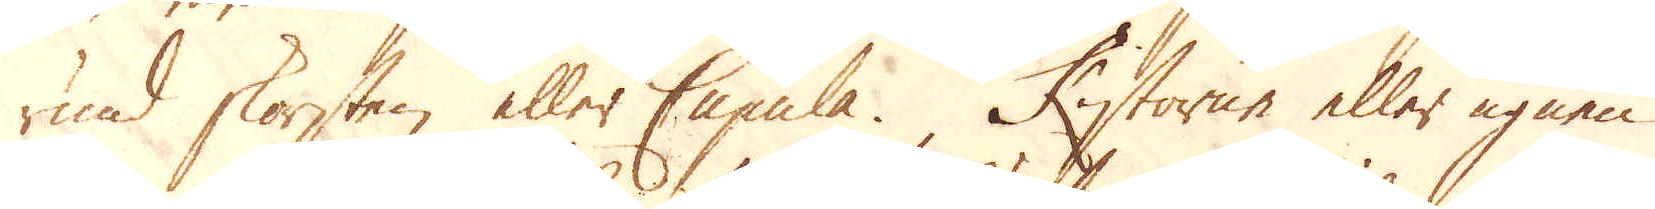rund skorsten eller Cupula. Kistorne eller ugnen
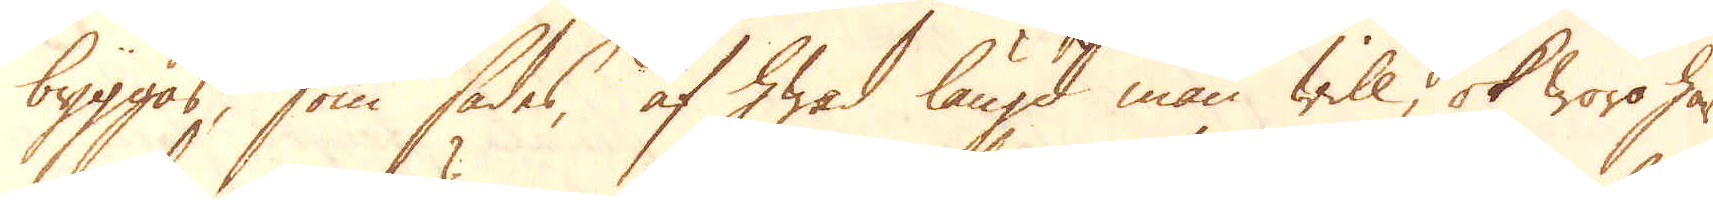byggas, som sades, af hwad längd man will, ok woro här
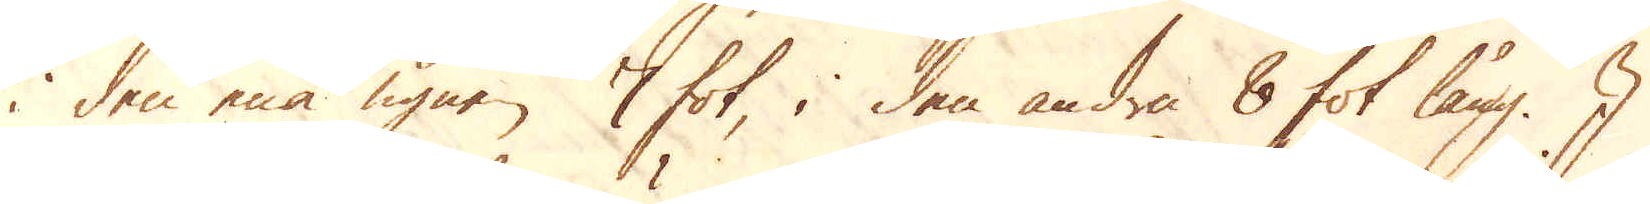i den ena ugnen 7 fot, i den andra 8 fot lång. I
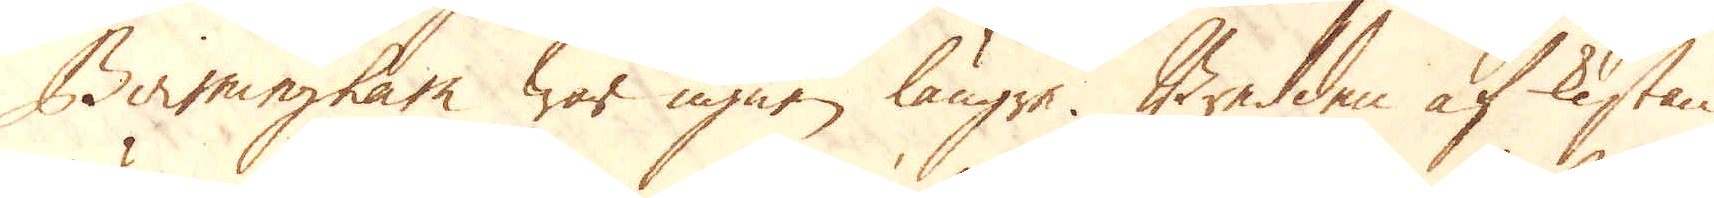Birmingham war ugnen längre. Bredden af kistan
